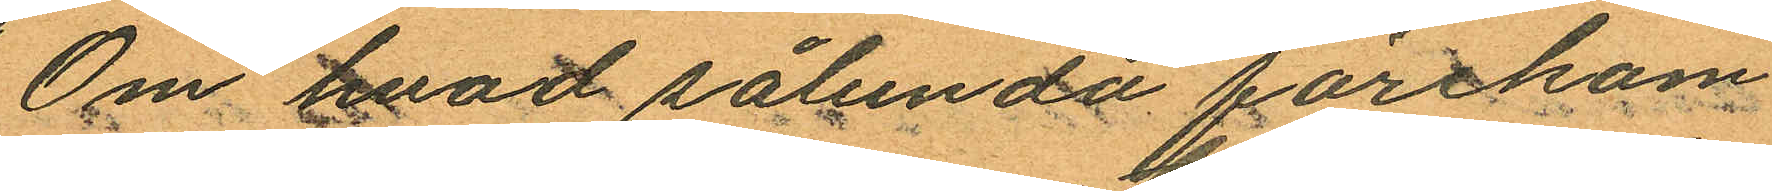Om hvad sålunda förekom
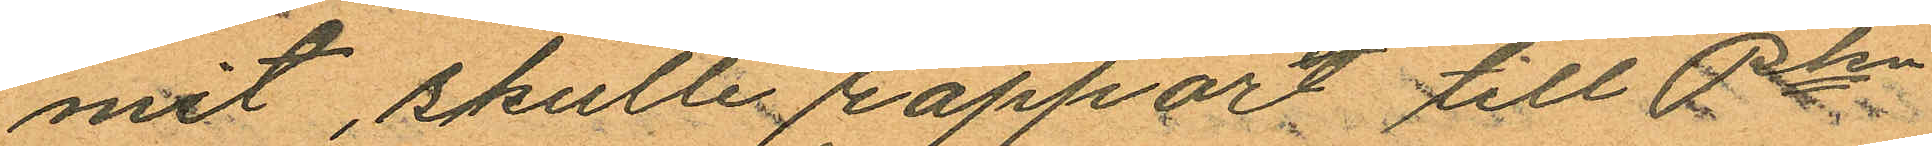mit, skulle rappor till Pkn
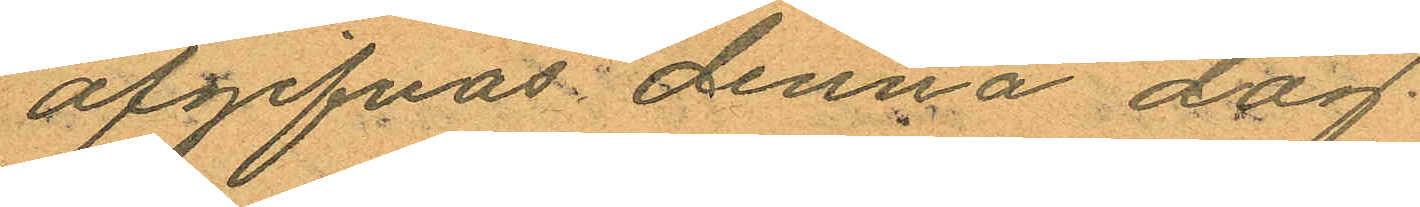afgifvas denna dag.
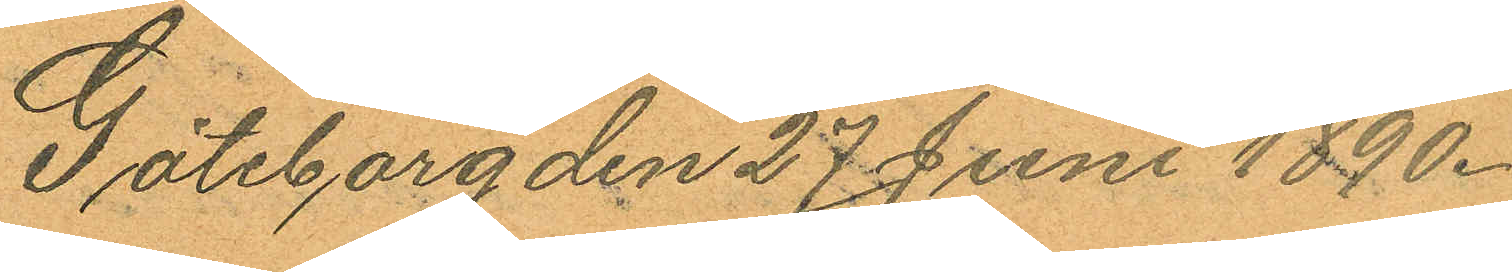Göteborg den 27 Juni 1890.
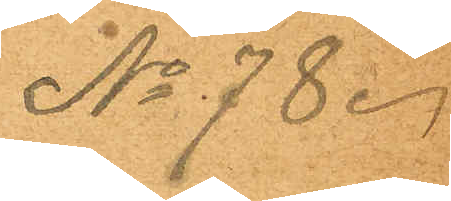No 78.
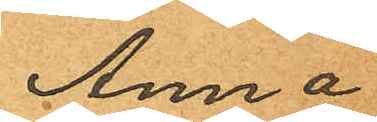Anna
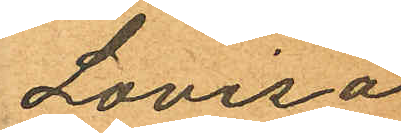Lovisa
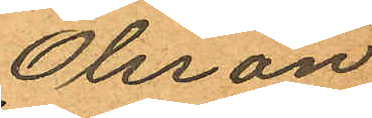Olsson
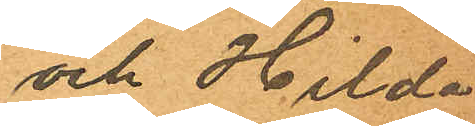och Hilda
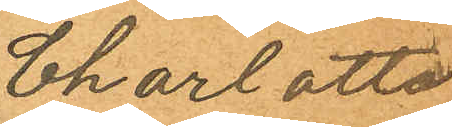Charlotta
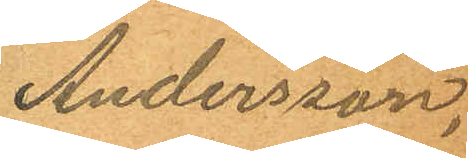Andersson.
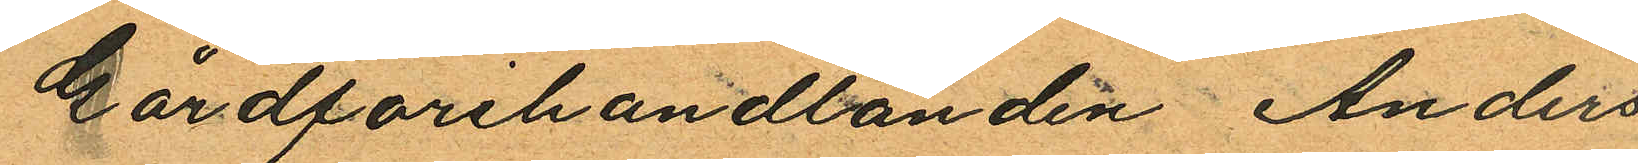Gårdfarihandlanden Anders
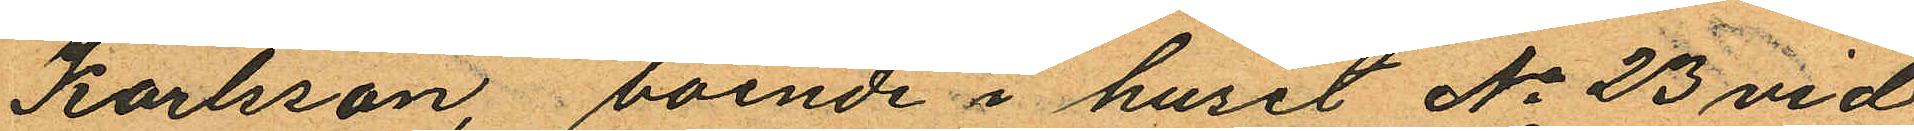Karlsson boende i huset No 23 vid
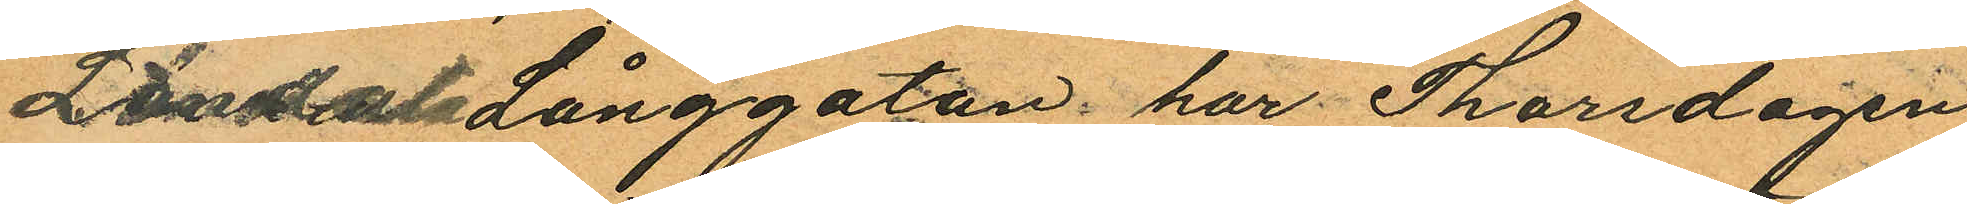Landala Långgatan har Thorsdagen
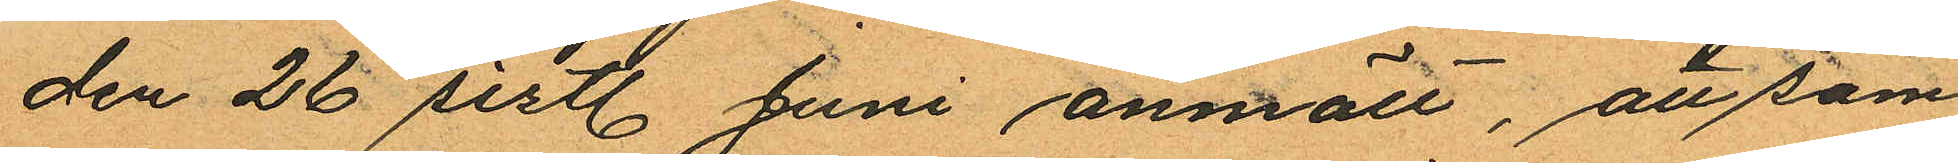den 26 sistl. Juni anmält, att sam¬
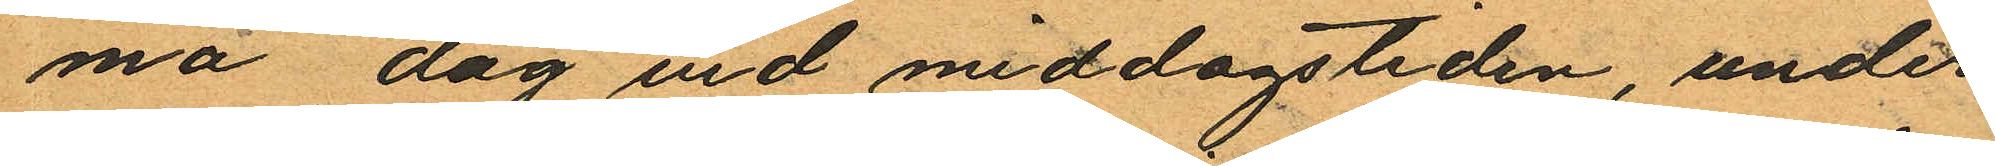ma dag vid middagstiden, under
